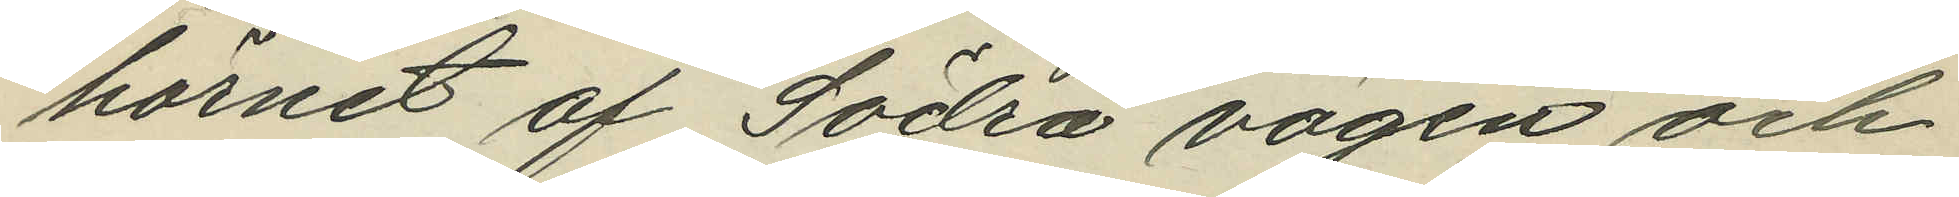hörnet af Södra vägen och
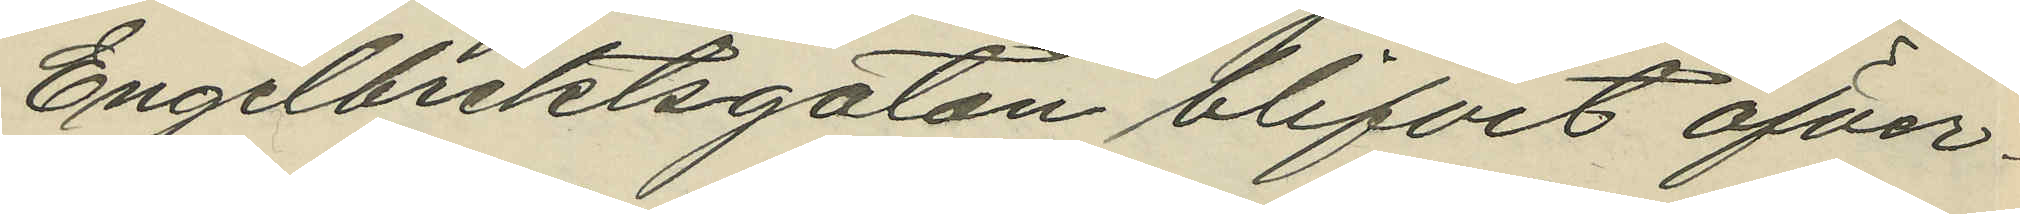Engelbrektsgatan blifvit öfver¬
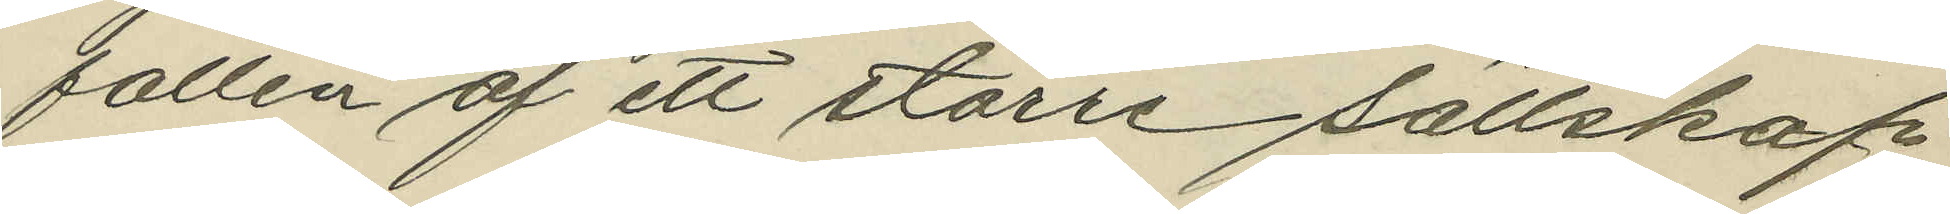fallen af ett större sällskap
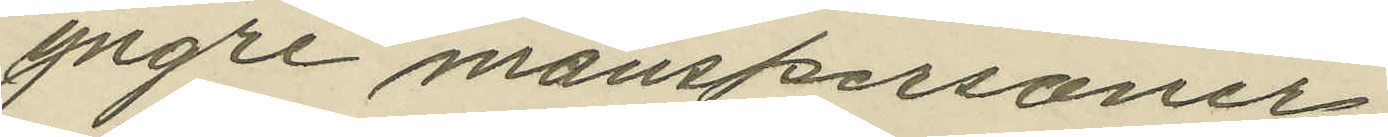yngre manspersoner;
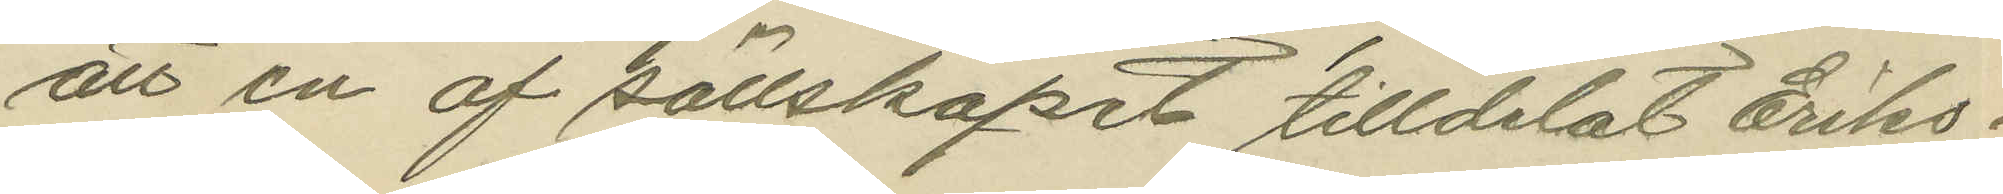att en af sällskapet tilldelat Eriks¬
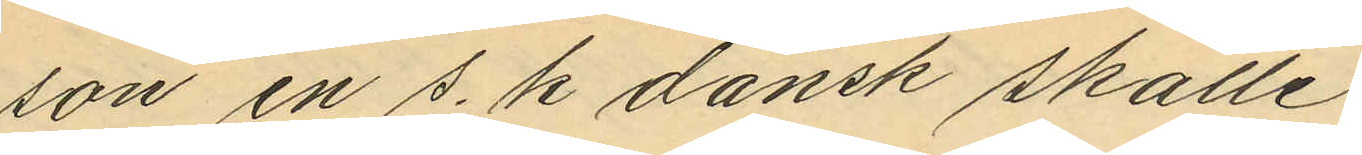son en s. k dansk skalle
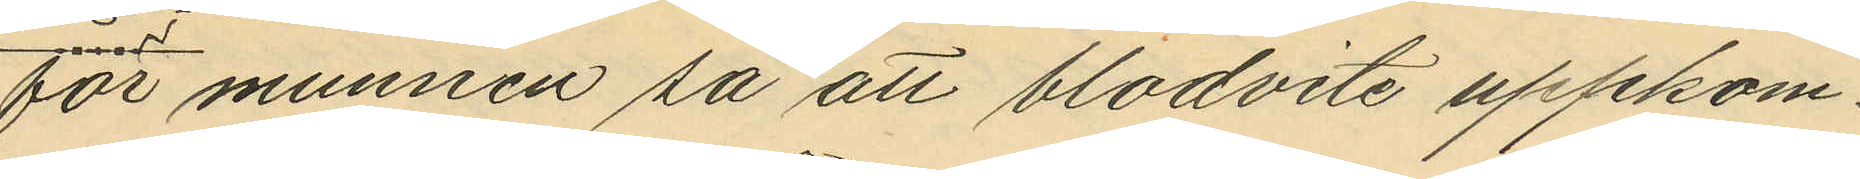för munnen så att blodvite uppkom¬
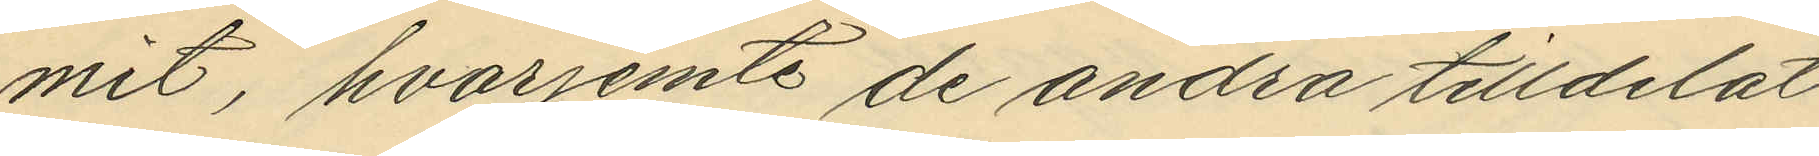mit, hvarjemte de andra tilldelat
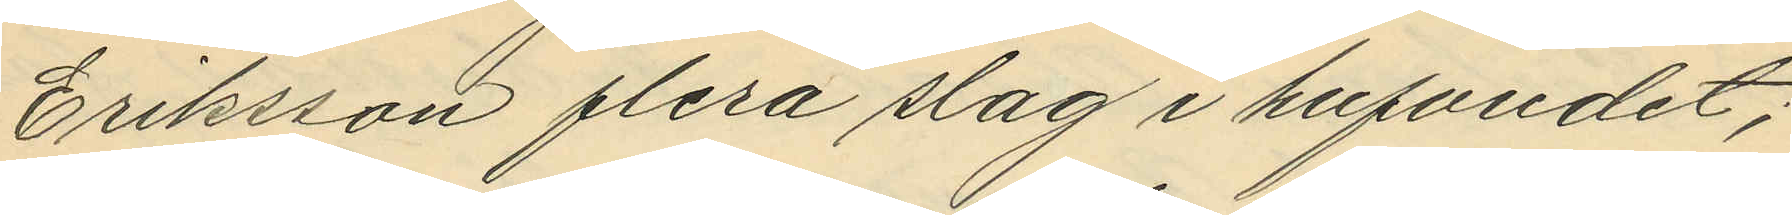Eriksson flera slag i hufvudet;
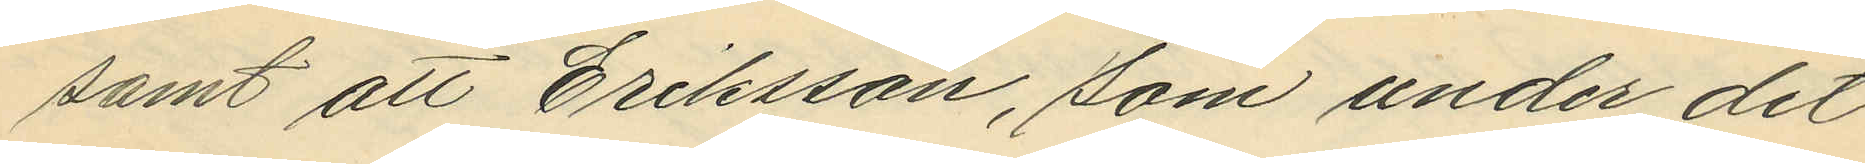samt att Eriksson, som under det
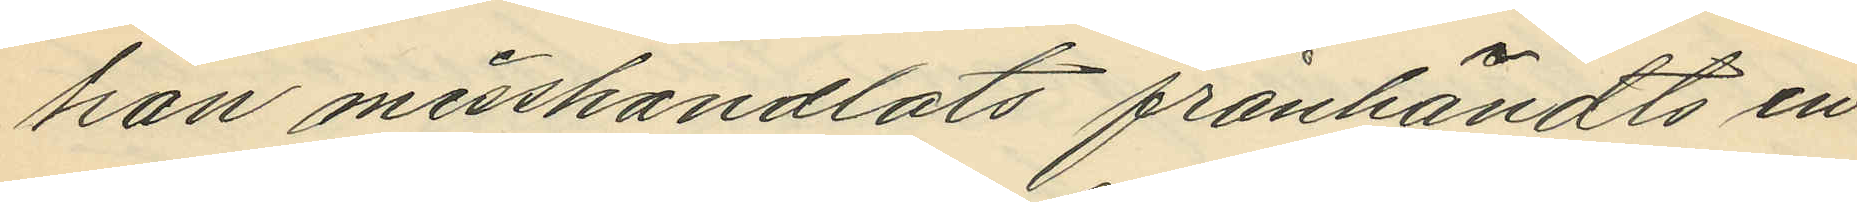han misshandlats frånhändts en
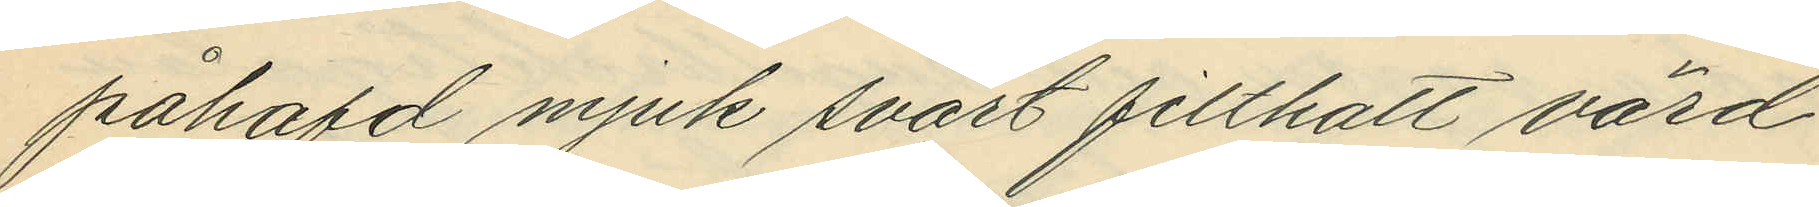påhafd mjuk svart filthatt värd
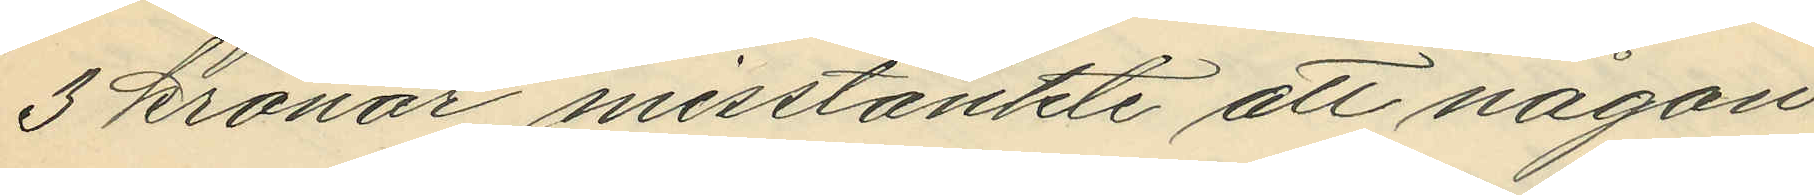3 kronor misstänkte att någon
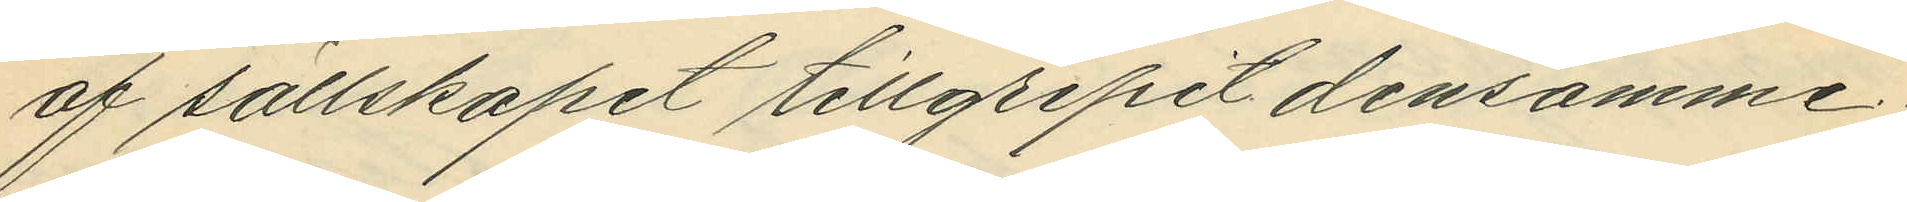af sällskapet tillgripit densamme.
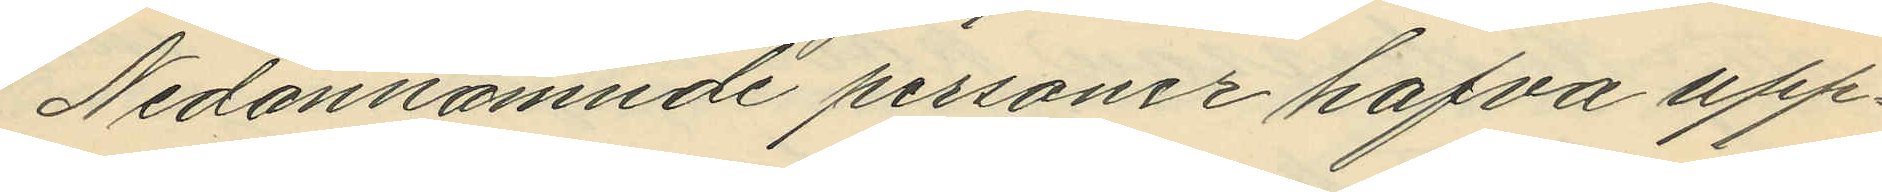Nedannämnde personer hafva upp¬
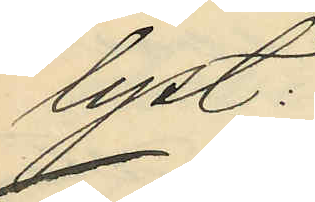lyst:
